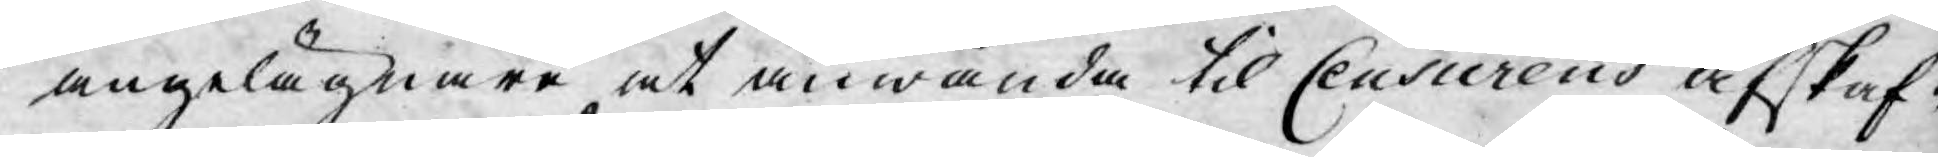angelägnare at anwända til Ceusurens afskaf¬
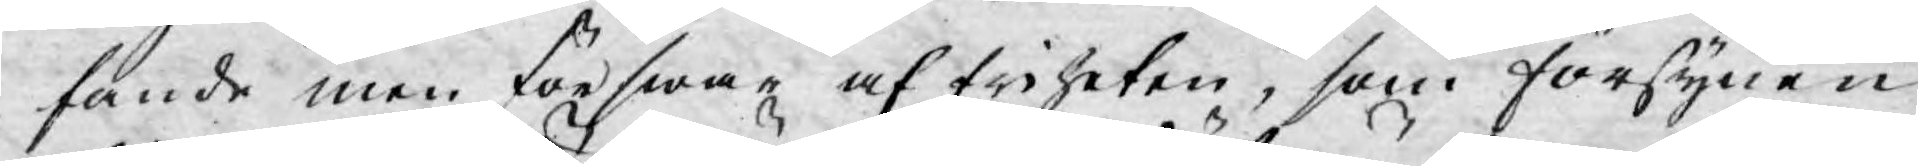fande men förswar af friheten, som försynen
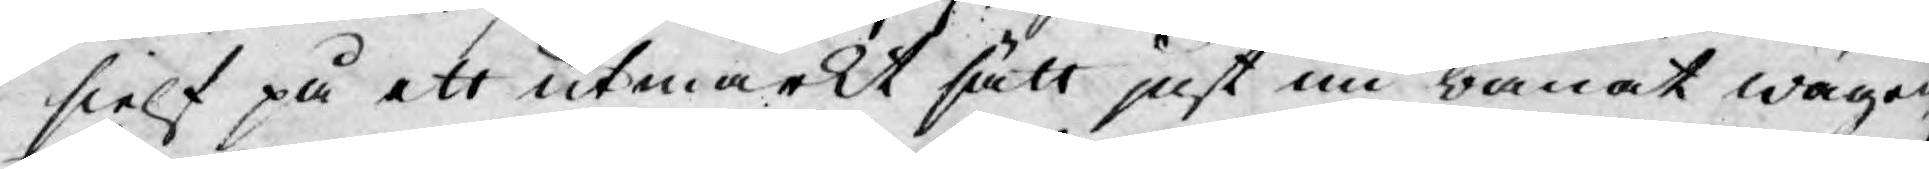sielf på ett utmärkt sätt just nu banat wägen
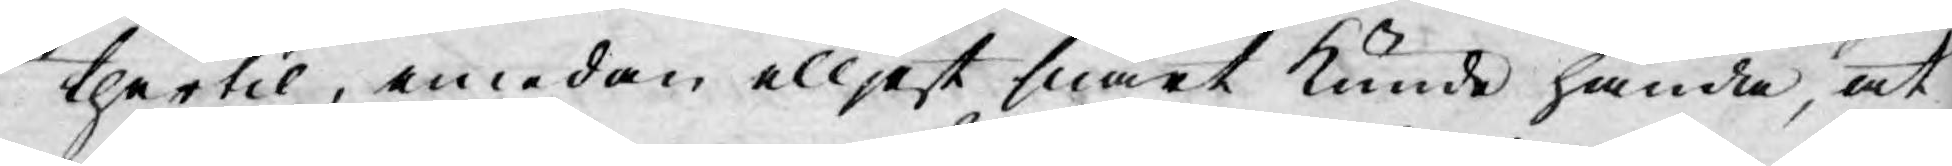thertil, emedan elljest snart kunde hända, at
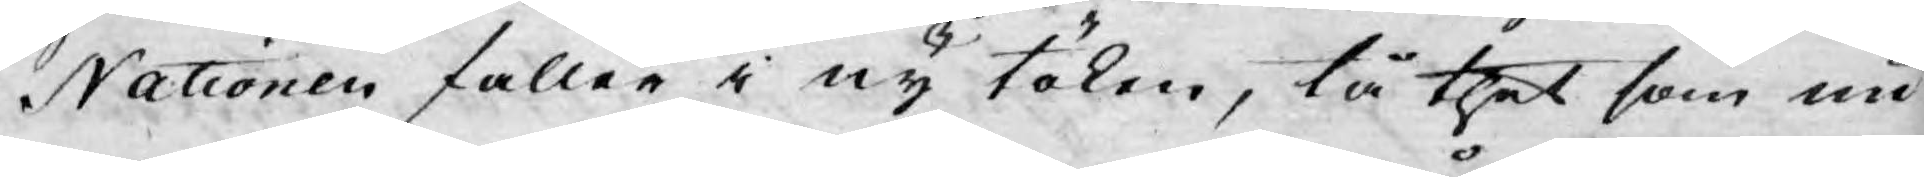Nationen faller i ny töken, tå thet som nu
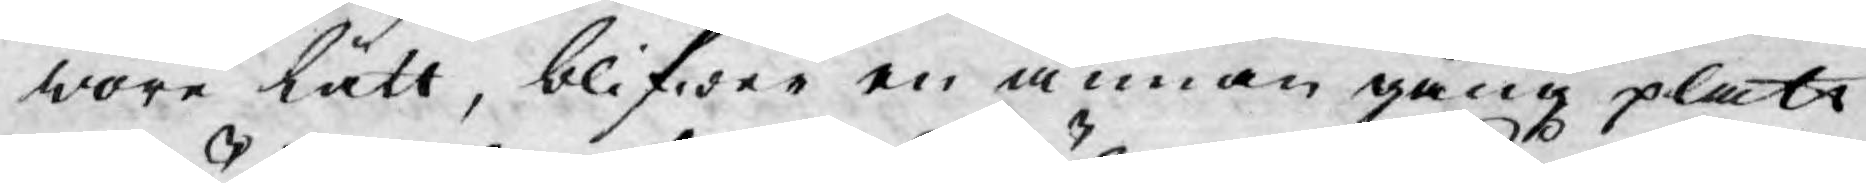wore lätt, blifwer en annan gång platt
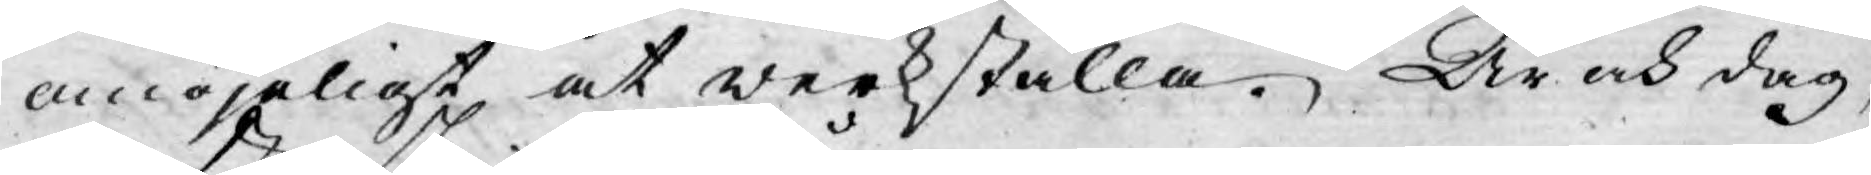omöjeligt at werkställa. År och dag,
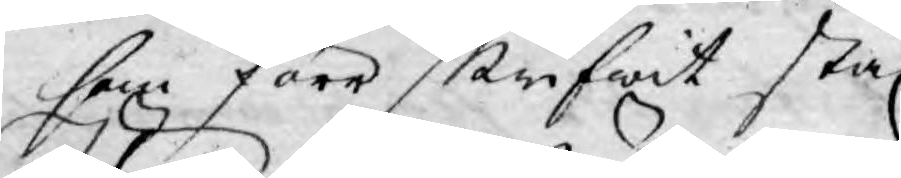som förr skrifwit står.
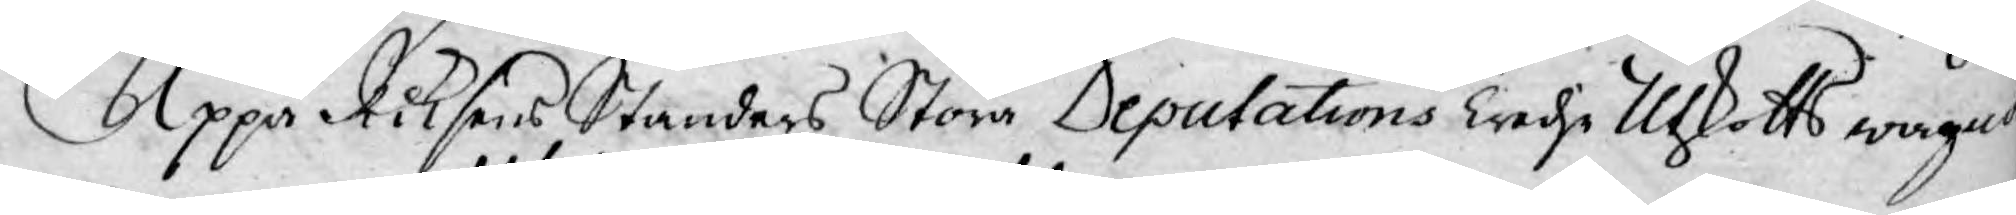Uppå Riksens Ständers Stora Deputations Tredje Utskotts wägar
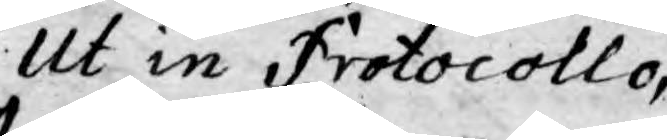Ut in Protocollo,
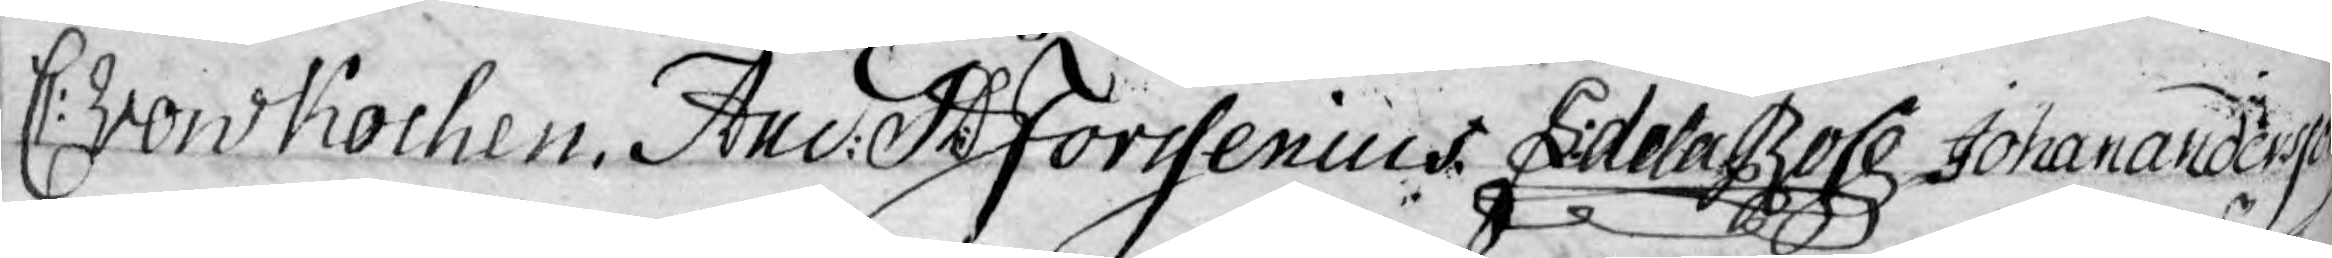C: von Kochen. And: Th: Forssenius. L: de la Rose. Johan Anderson
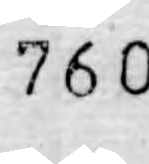760
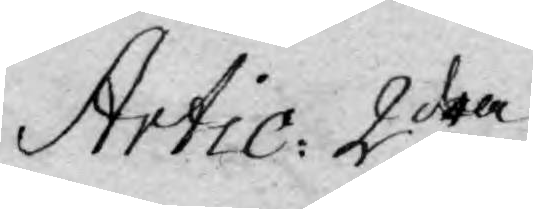Artic. 2dra
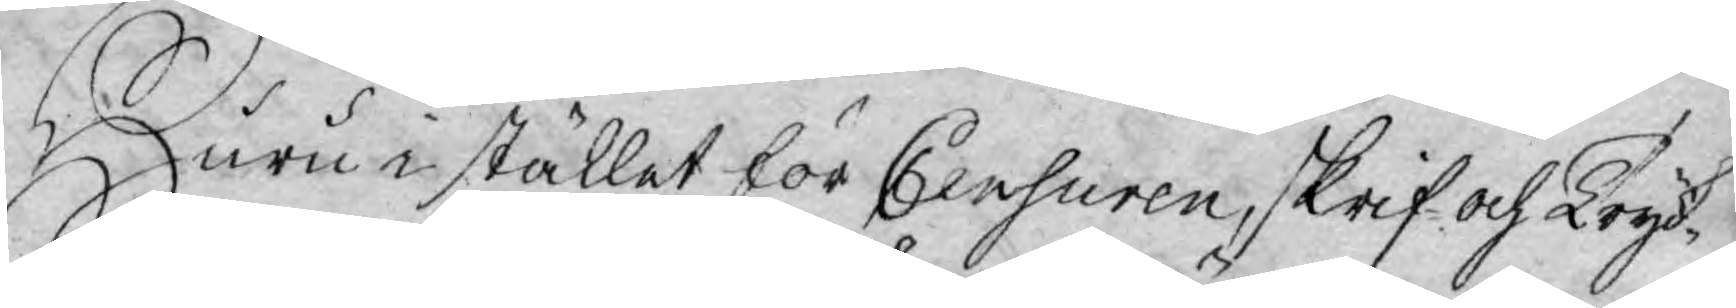Huru i stället för Censuren skrif- och Tryck-
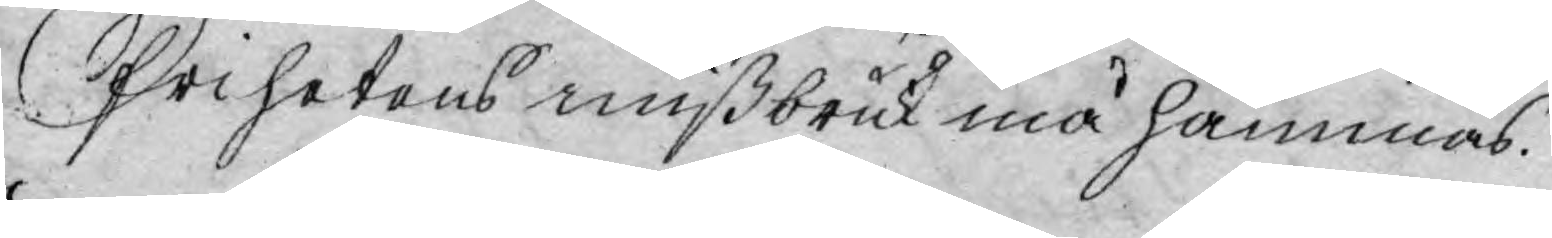Frihetens mißbruk må hämmas.
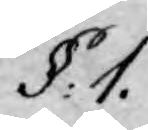§ 1.
